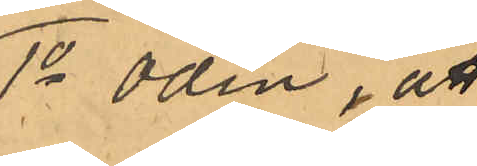1o Odin, att
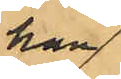han
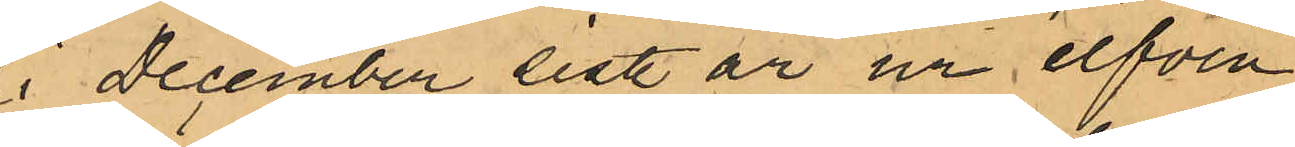i December sistl. år ur elfven
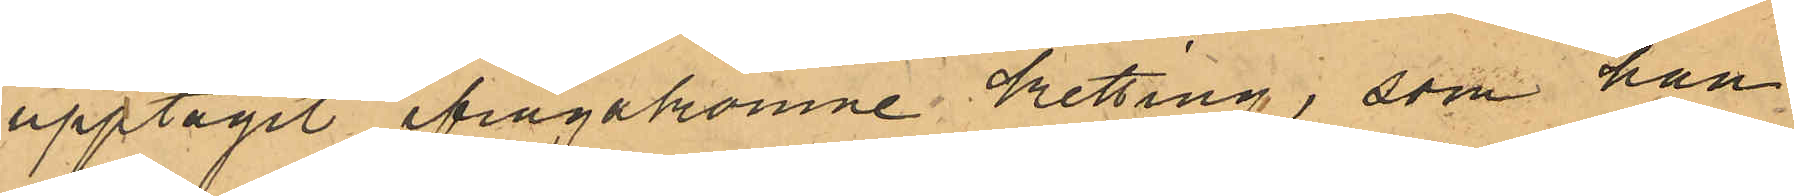upptagit ifrågakomne ketting, som han
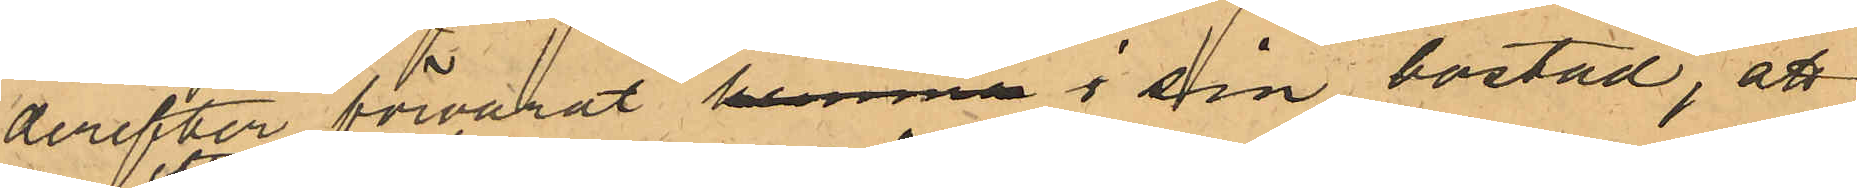derefter förvarat hemma i sin bostad, att
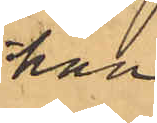han
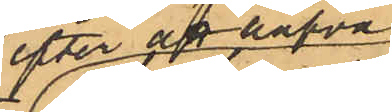efter att hafva
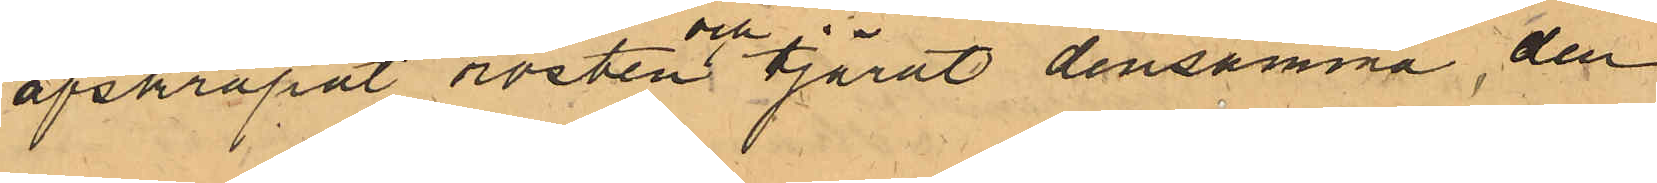afskrapat rosten och tjärat densamma, den
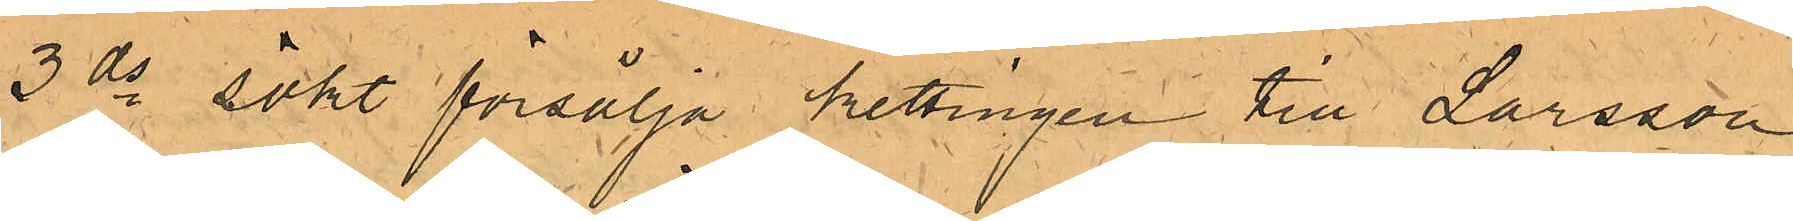3 ds sökt försälja kettingen till Larsson
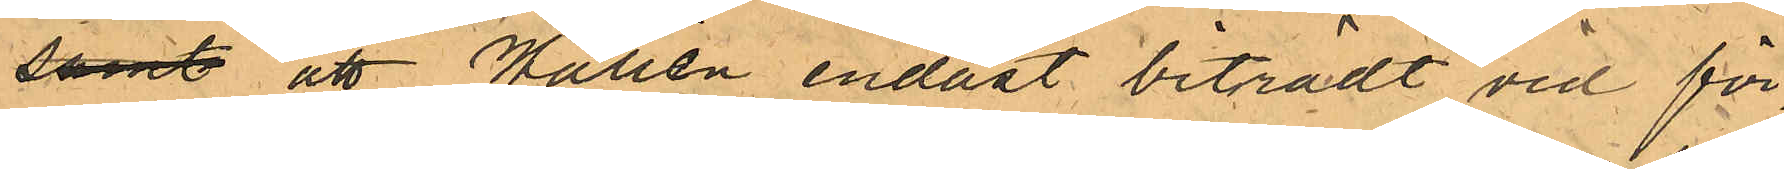samt att Wallén endast biträdt vid för¬
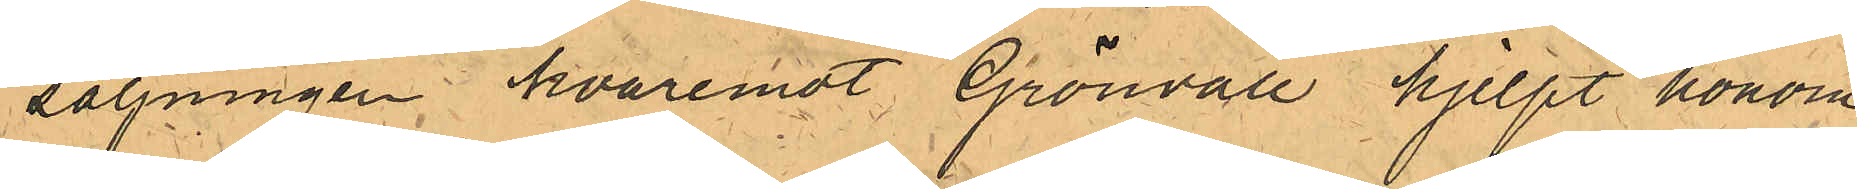säljningen hvaremot Grönvall hjelpt honom
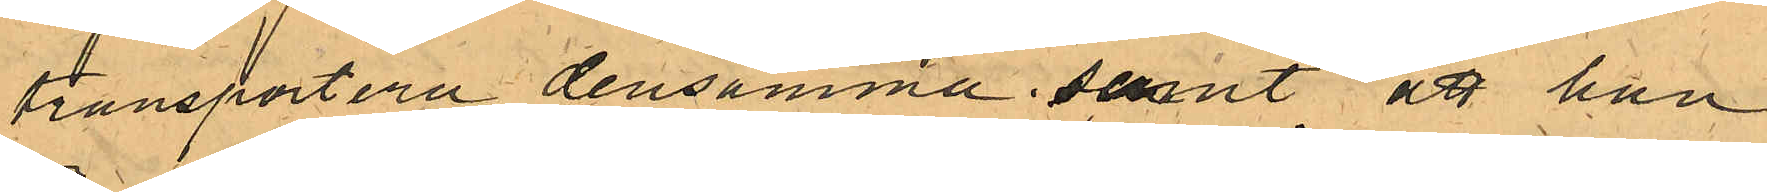transportera densamma; samt att han
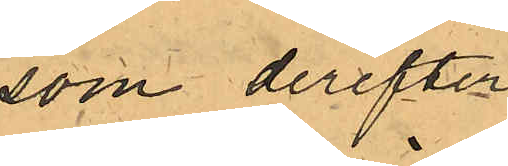som derefter
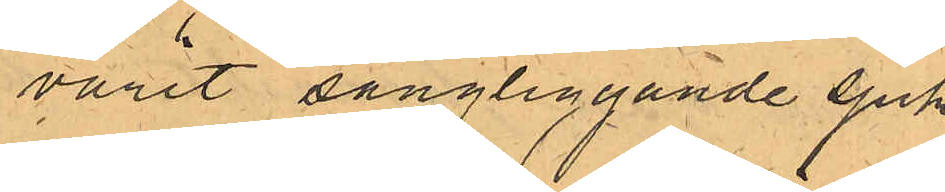varit sängliggande sjuk
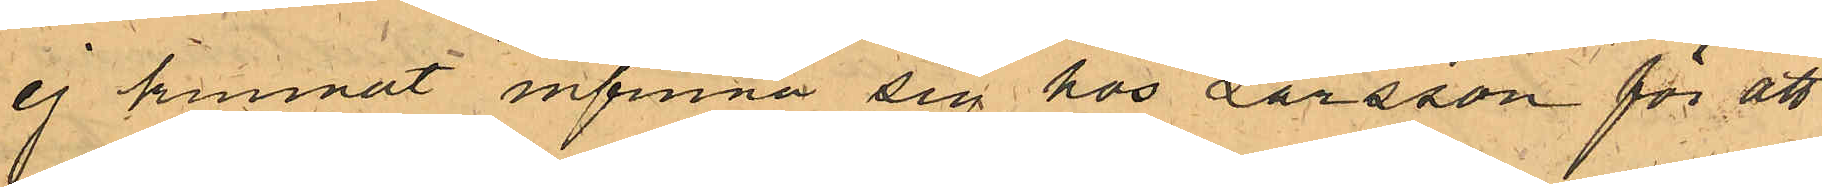ej kunnat infinna sig hos Larsson för att
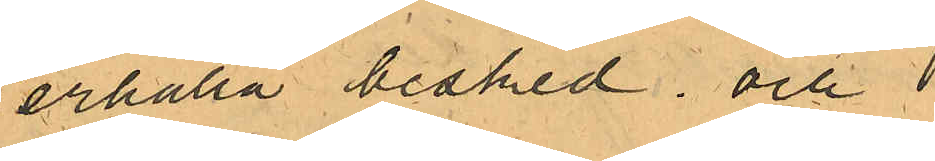erhålla besked. och
